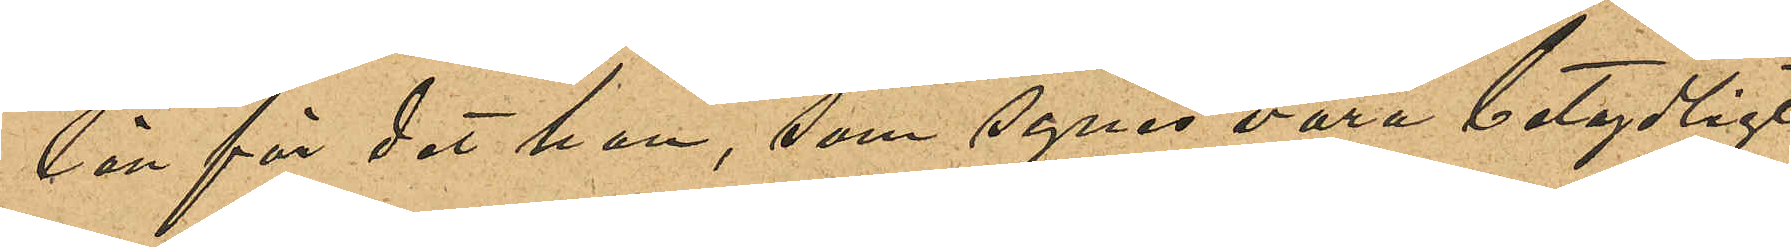län för det han, som synes vara betydligt
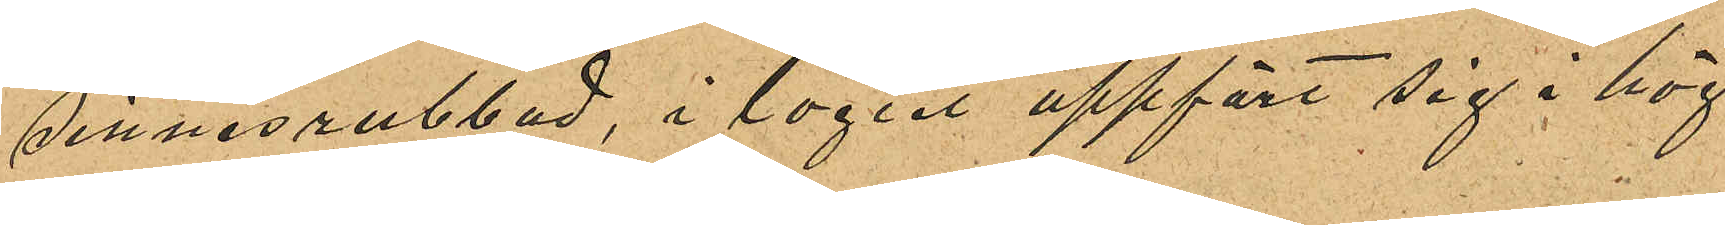sinnesrubbad, i logiet uppfört sig i hög
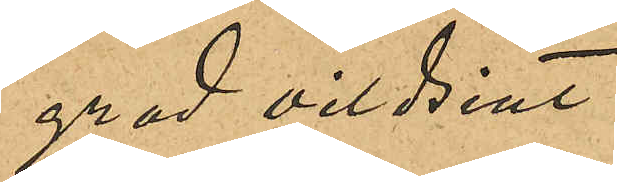grad vildsint.
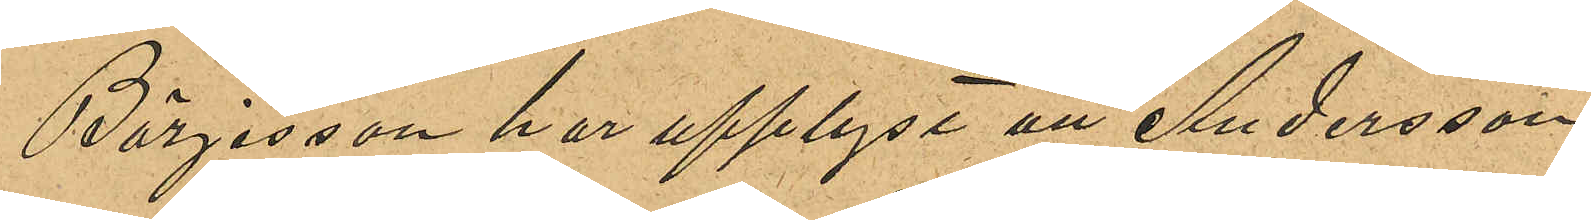Börjesson har upplyst att Andersson
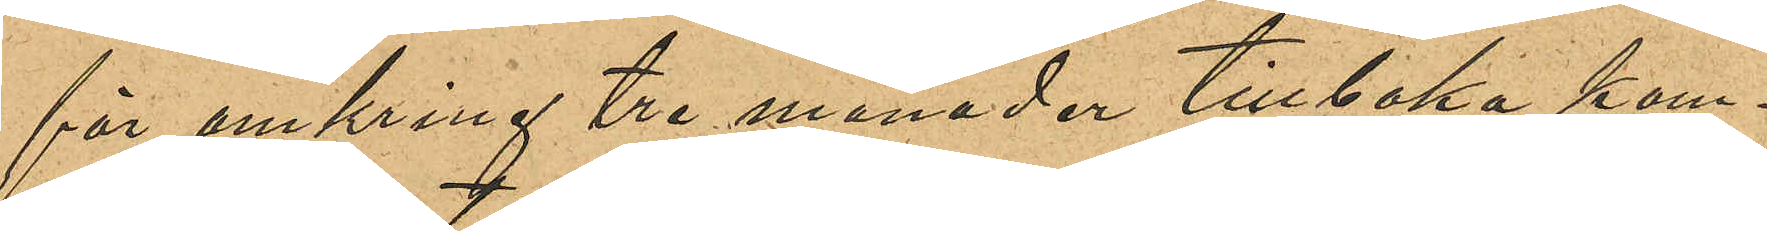för omkring tre månader tillbaka kom¬
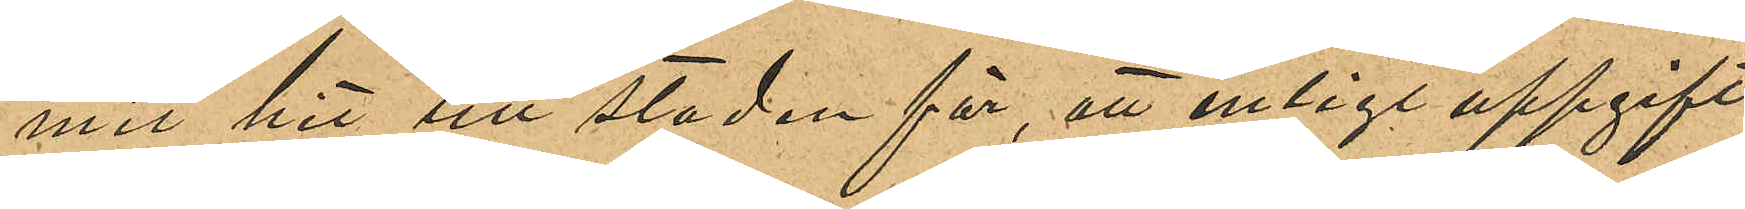mit hit till staden för, att enligt uppgift
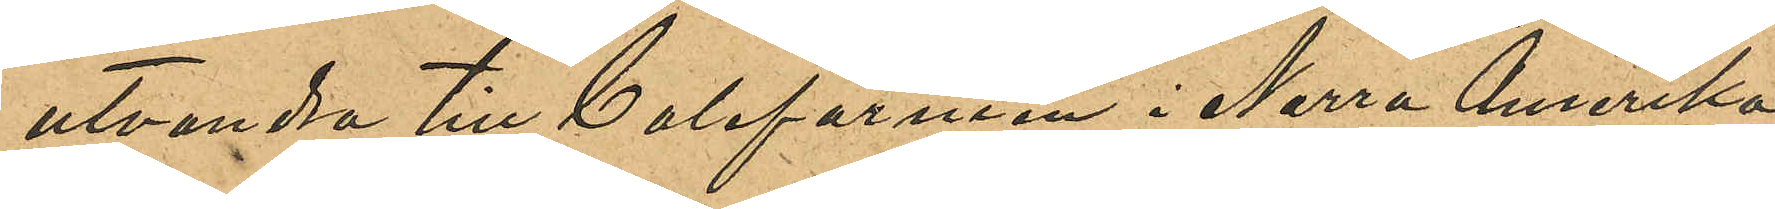utvandra till Californien i Norra Amerika;
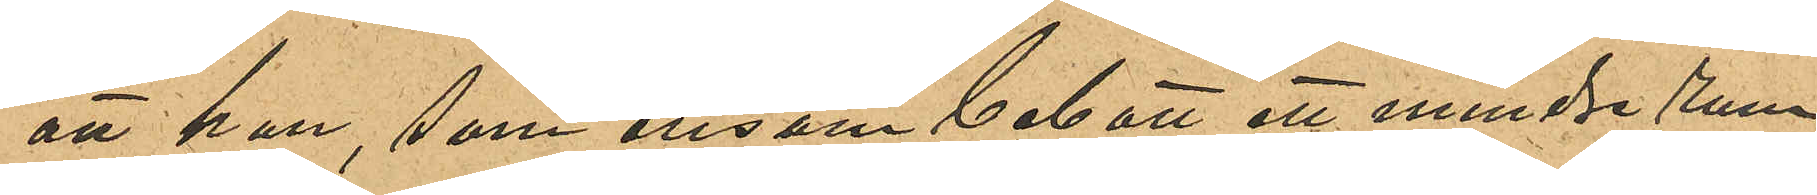att han, som ensam bebott ett mindre rum
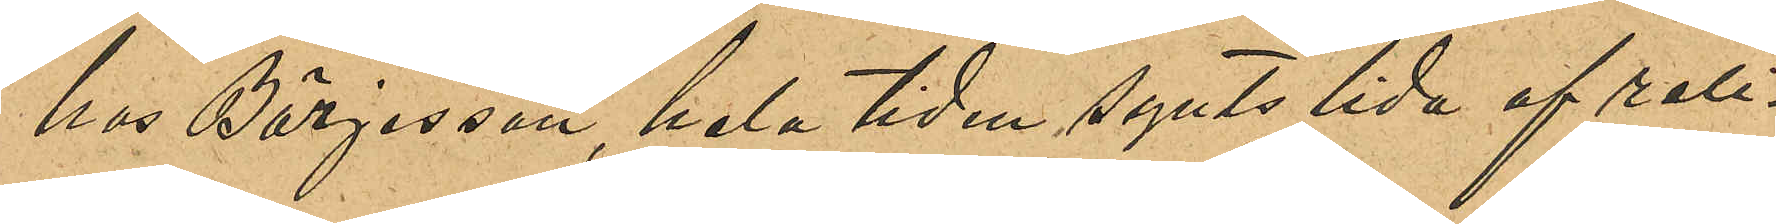hos Börjesson, hela tiden synts lida af reli¬
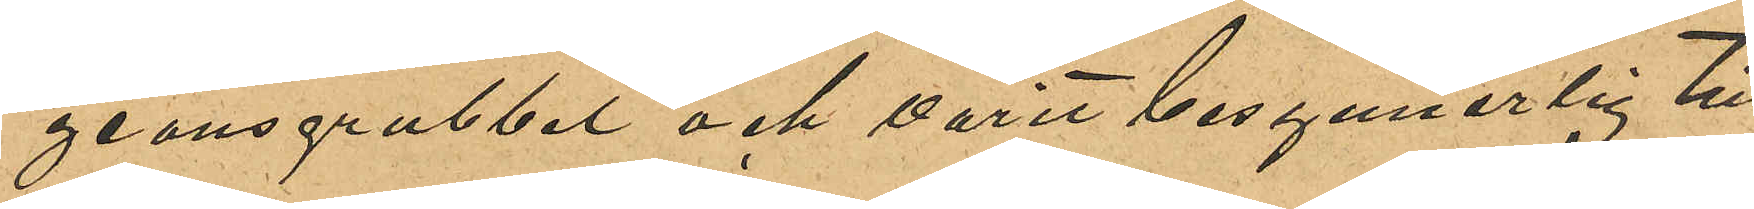geonsgrubbel och varit besynnerlig till
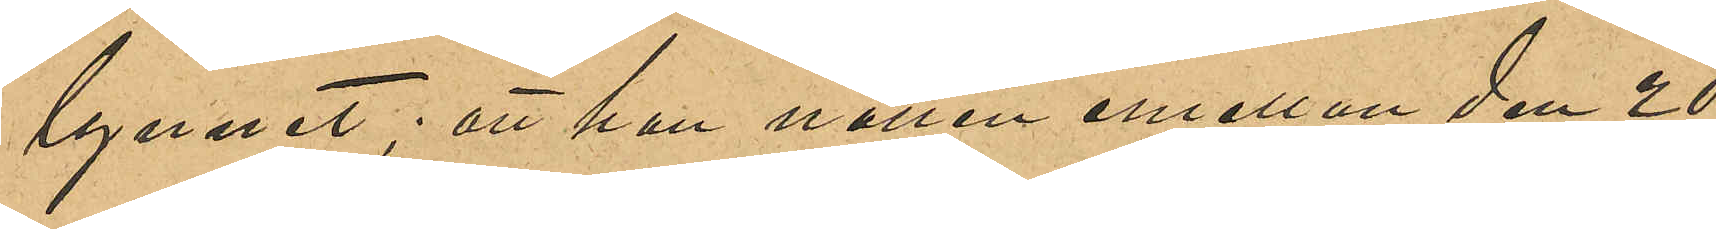lynnet; att han natten emellan den 20
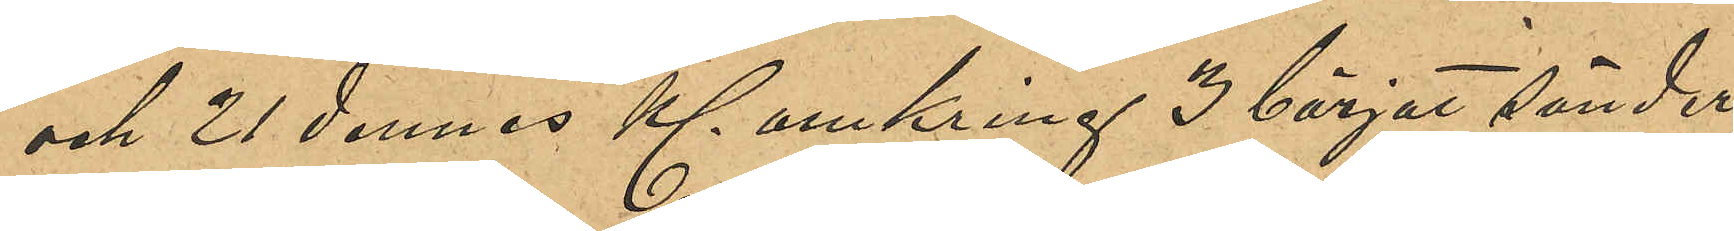och 21 dennes Kl omkring 3 börjat sönder¬
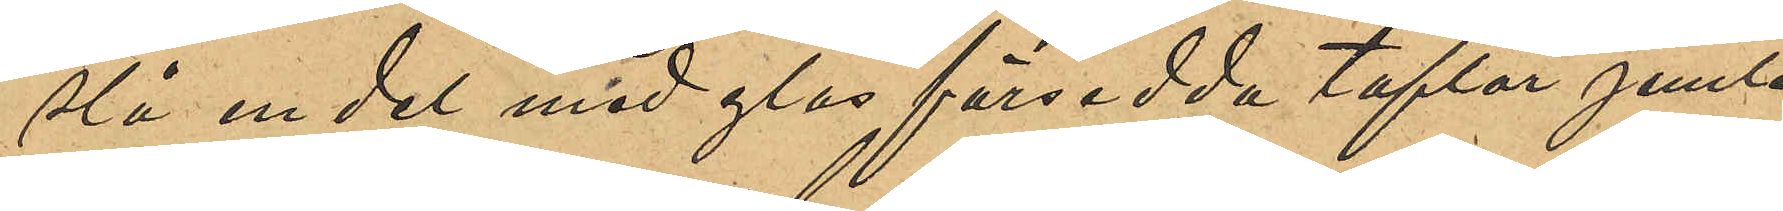slå en del med glas försedda taflor jemte
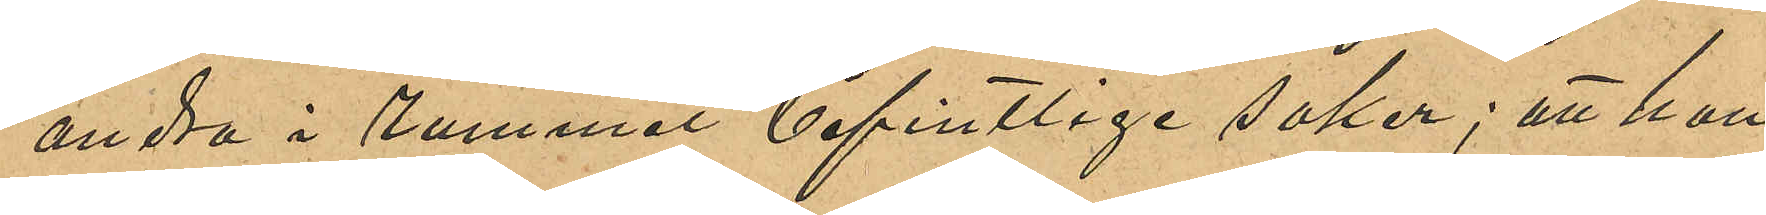andra i rummet befintliga saker; att han
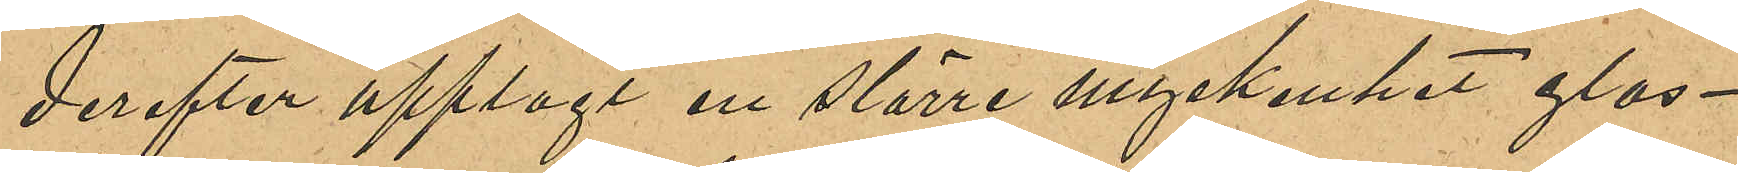derefter upplagt en större myckenhet glas¬
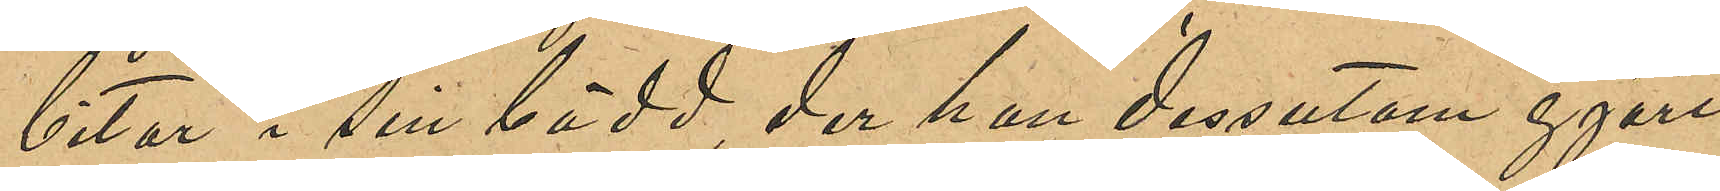bitar i sin bädd, der han dessutom gjort
